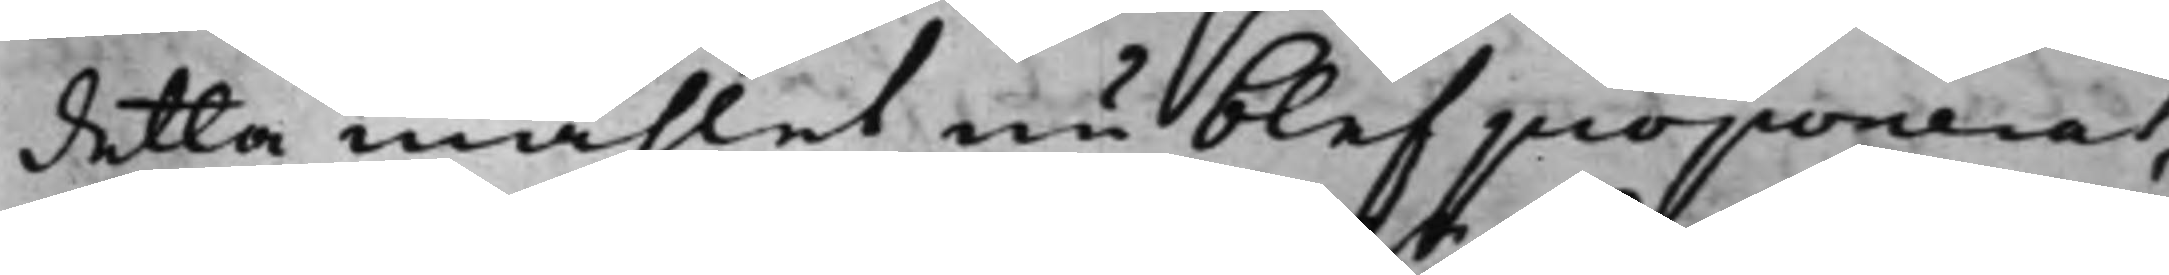detta måhlet nu blef proponerat,
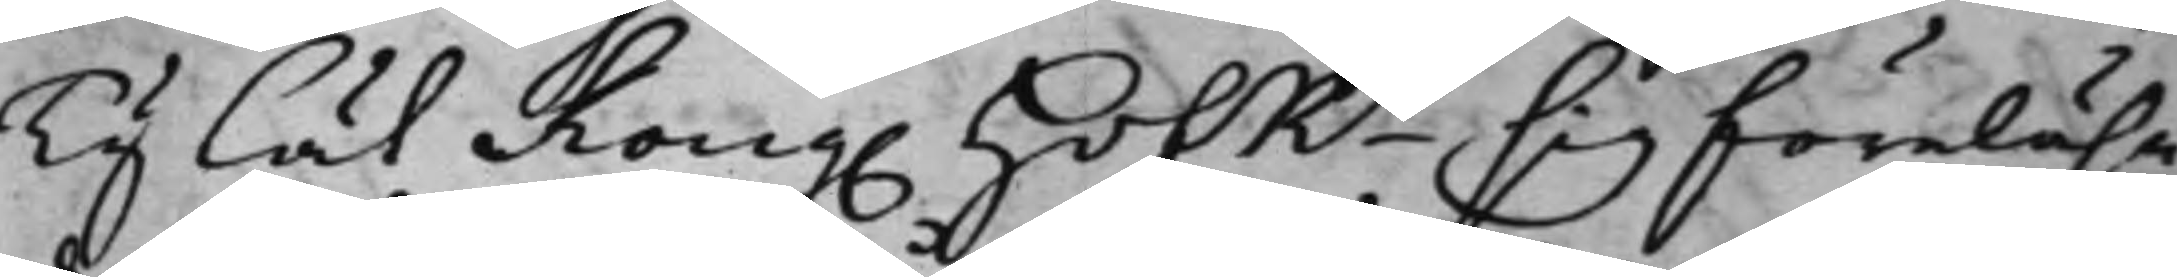Ty lät Kong. HofRn sig föreläsa
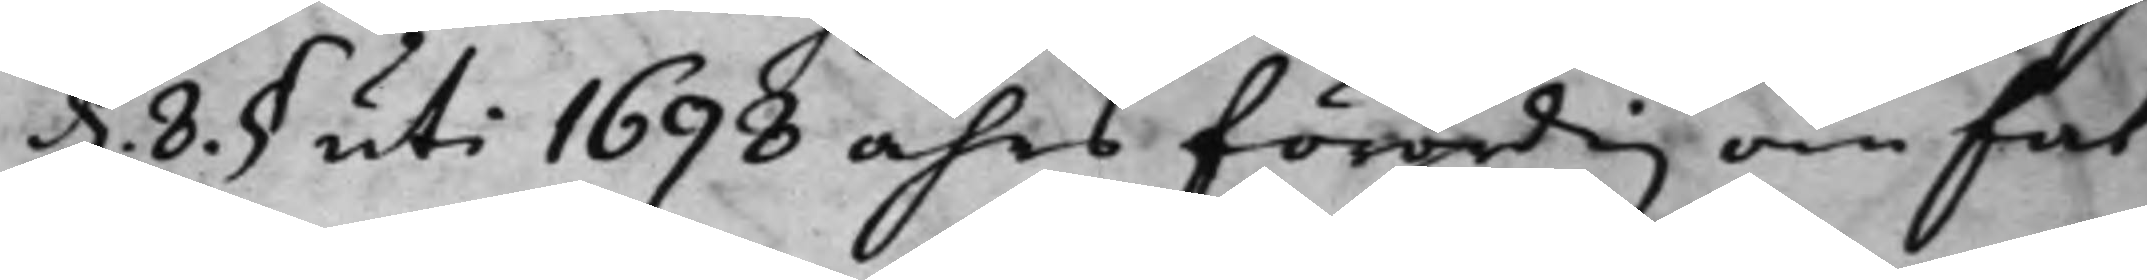d. 8. § uti 1698 åhrs förordig om fat¬
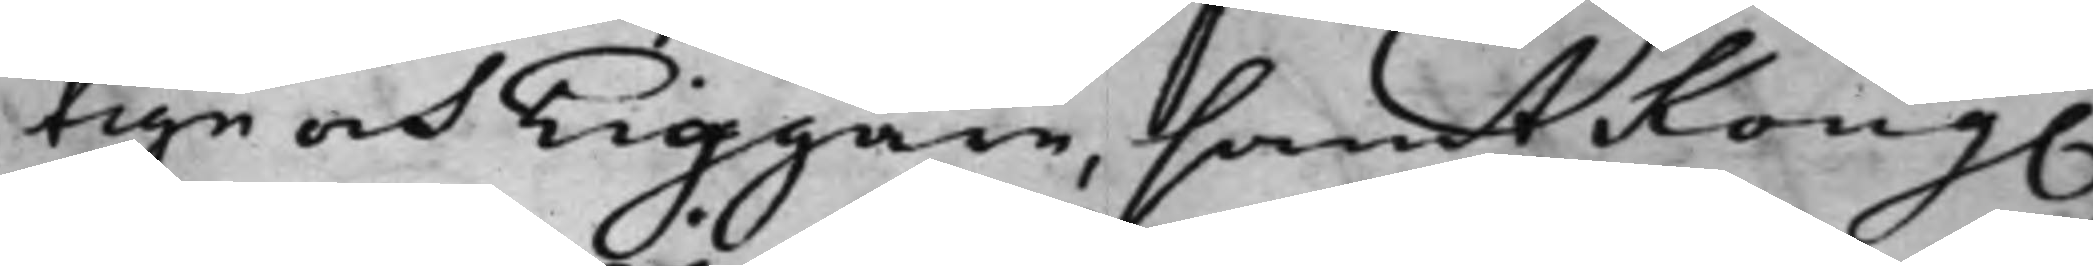tige och Tiggare, samt Kong.
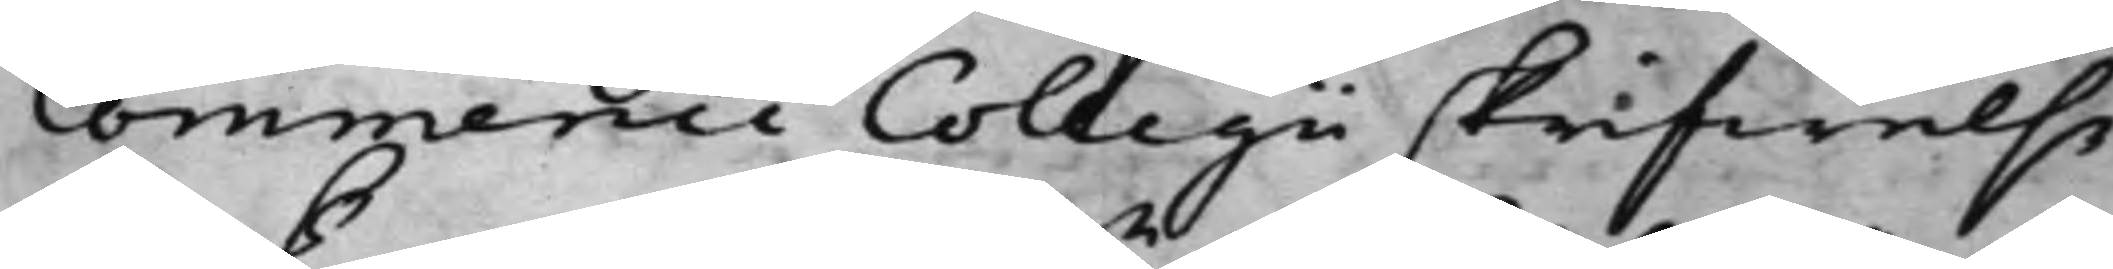Commende Collegii skrifwelse
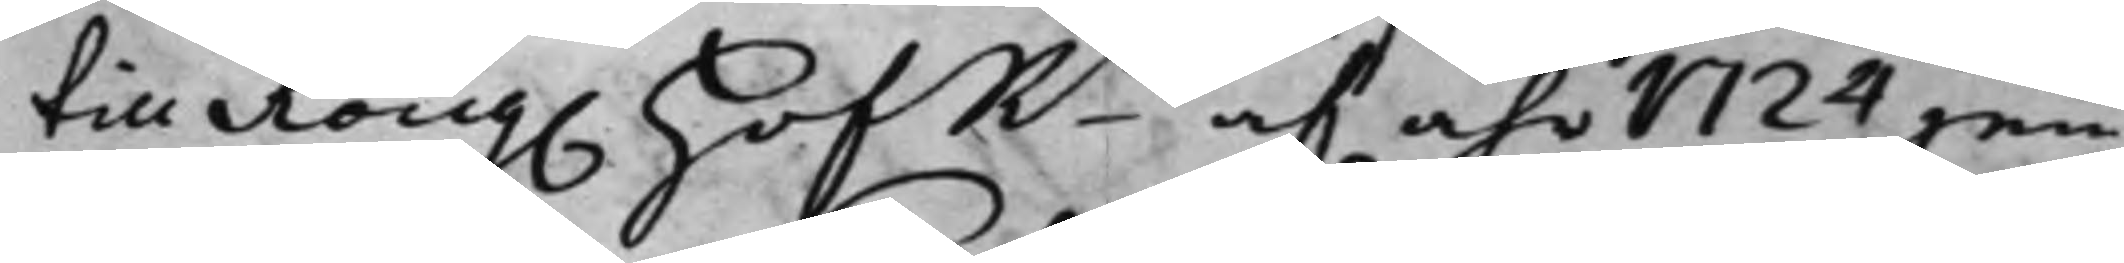till Kong. HofRn af åhr 1724 jem¬
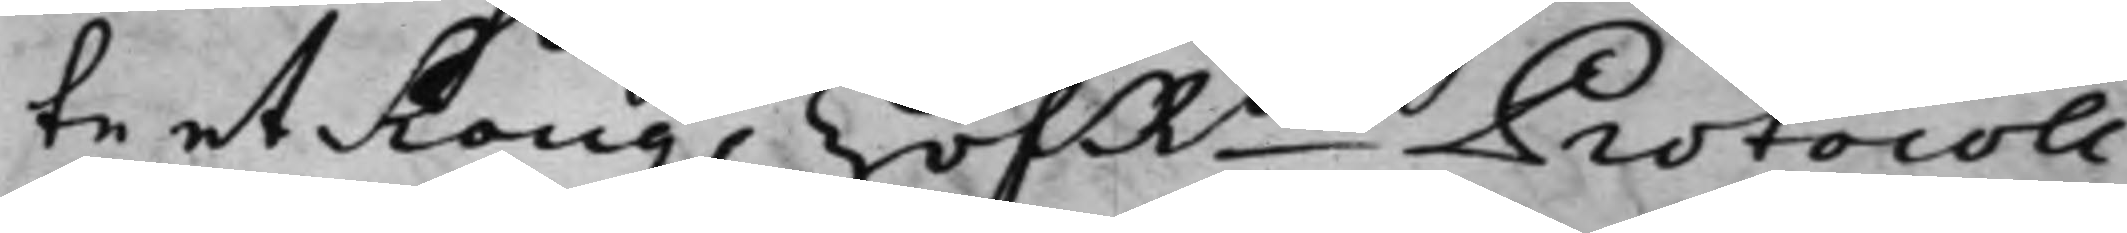te et Kong. HofRns Protocoll
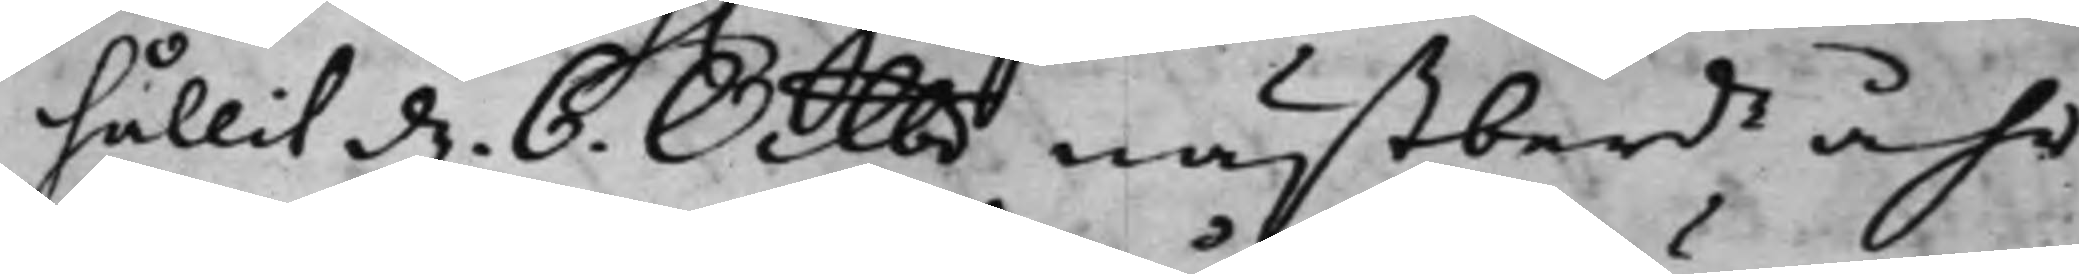hållit d. 6. Octbr nästberde åhr
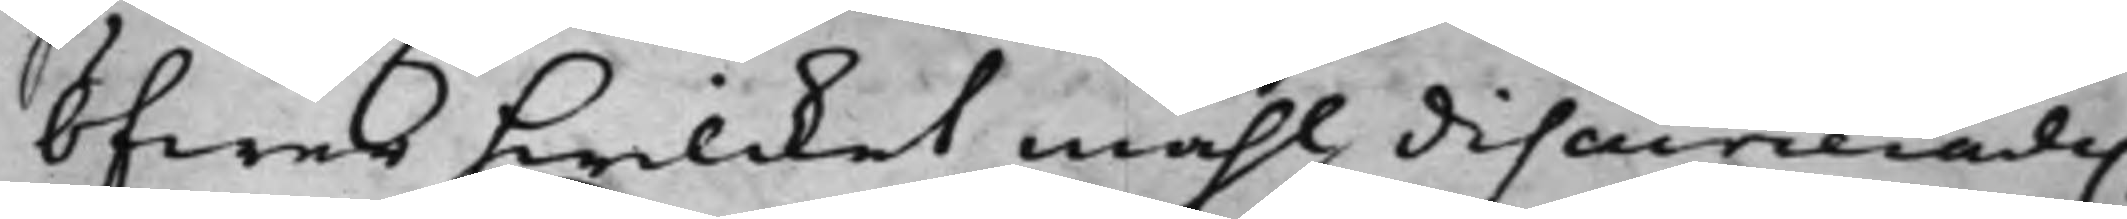öfwer hwilcket måhl discurerades,
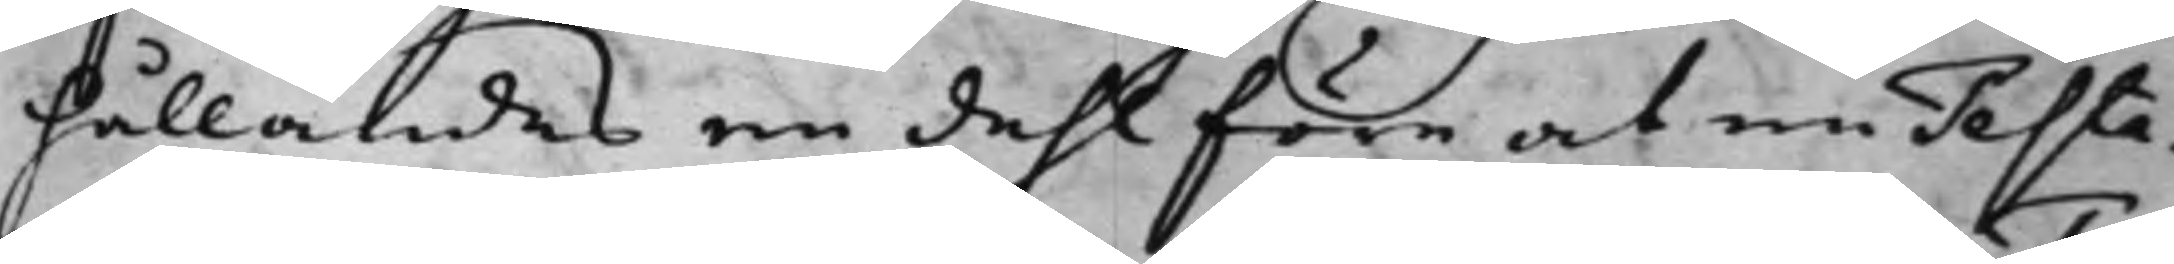hållandes en dehl före at en Testa¬
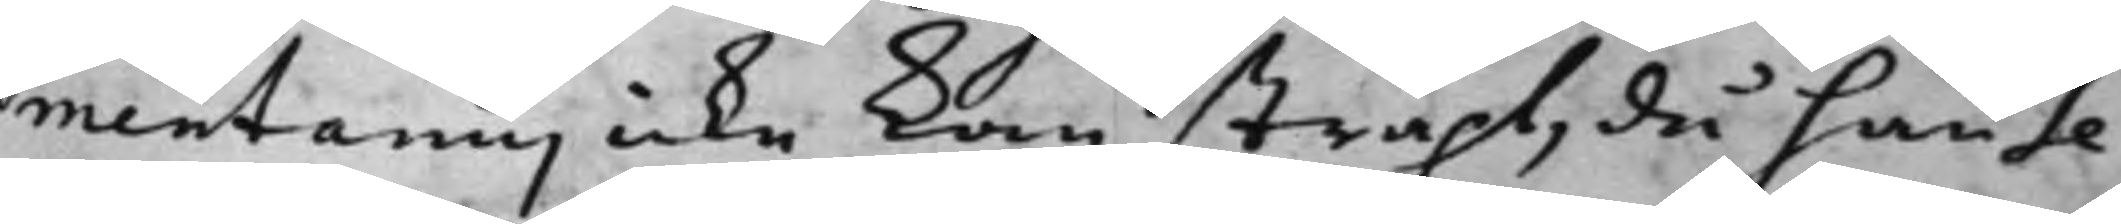mentarius icke kan straxt, då han Te¬
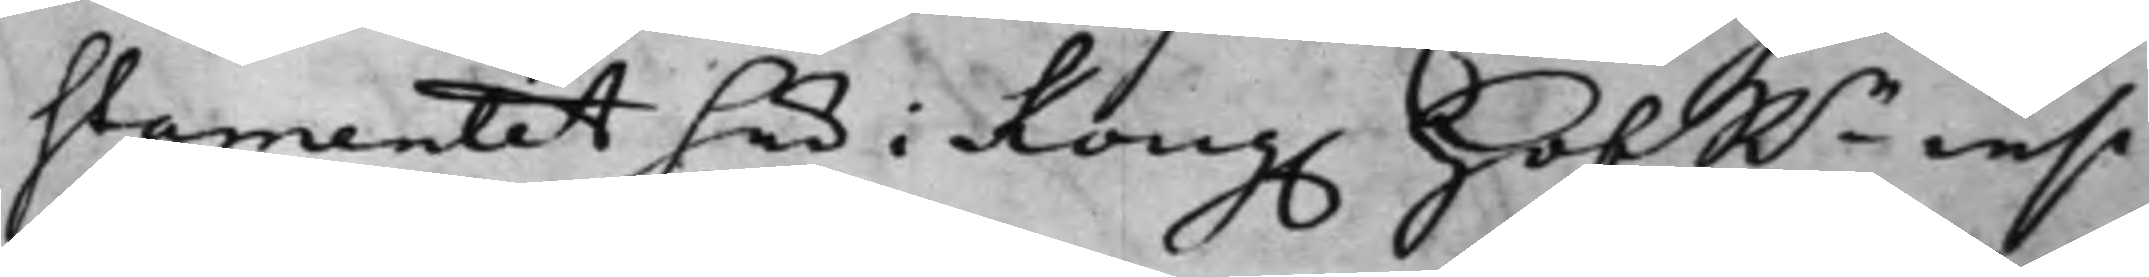stamentet her i Kong. HofRn insi¬
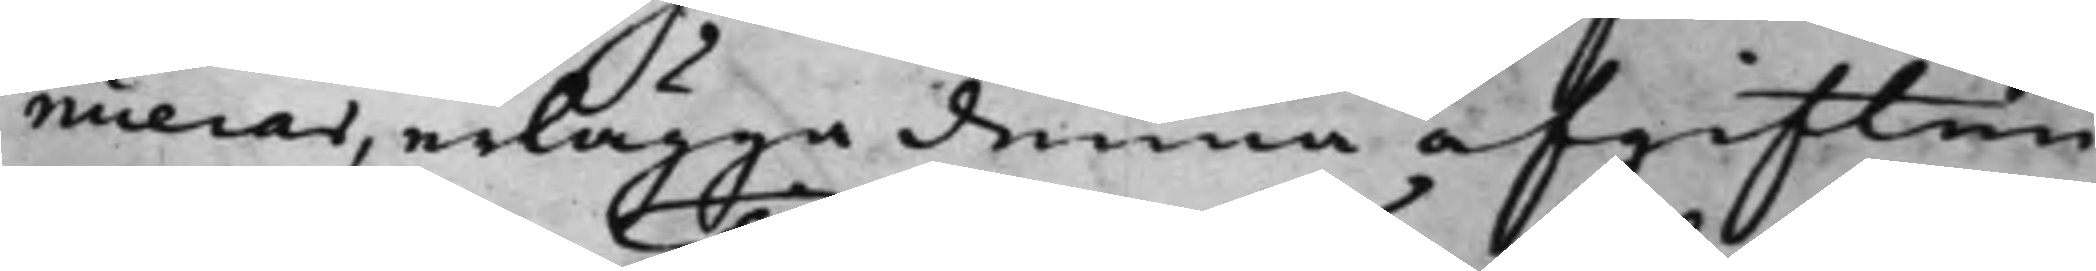nuerar, erlägga denna afgiften
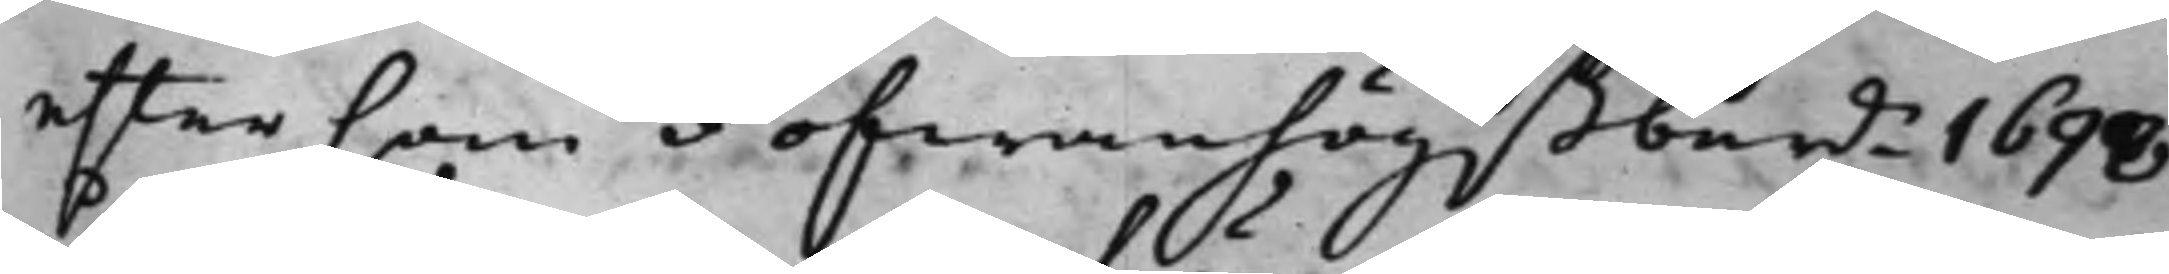eftersom ofwanhögstberde 1698
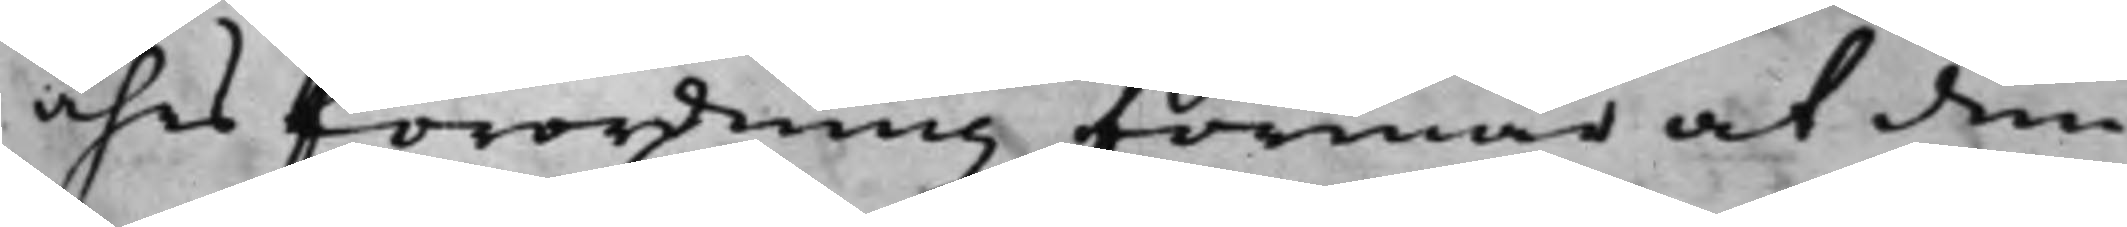åhrs förordning förmår at den¬
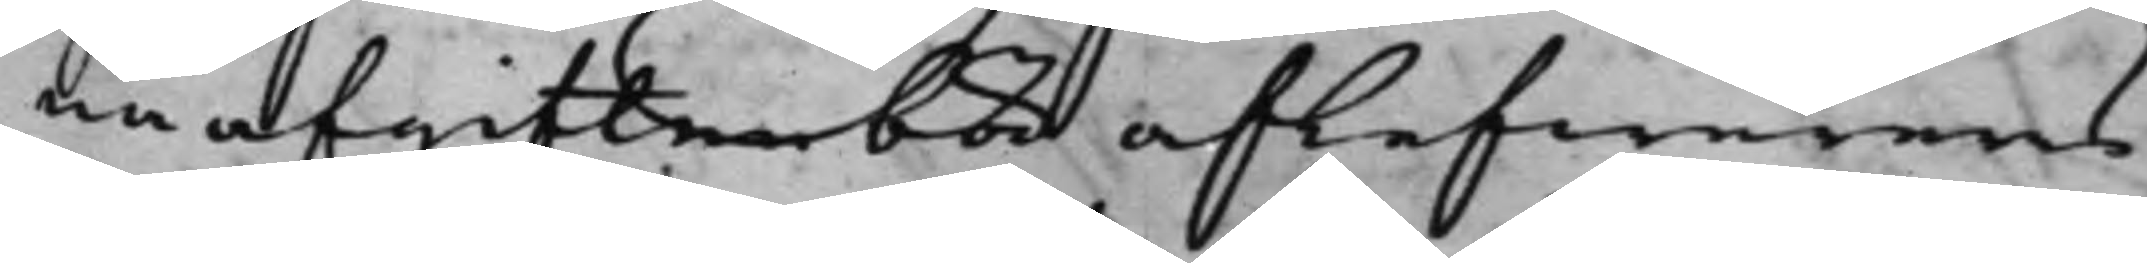ne afgiften bör aflefwereras
